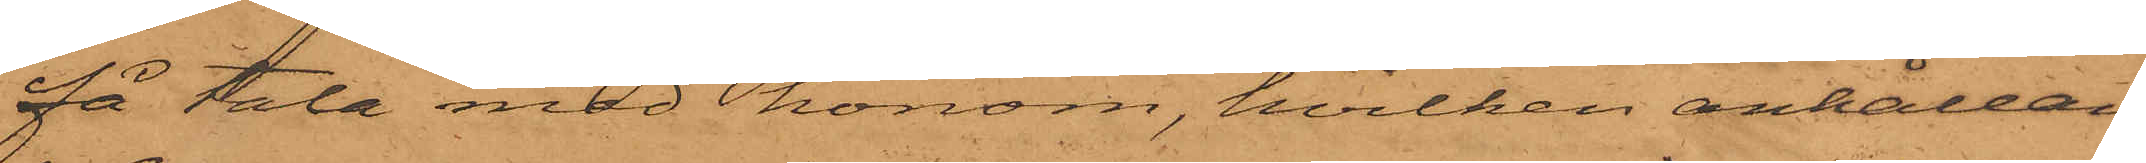få tala med honom, hvilken anhållan
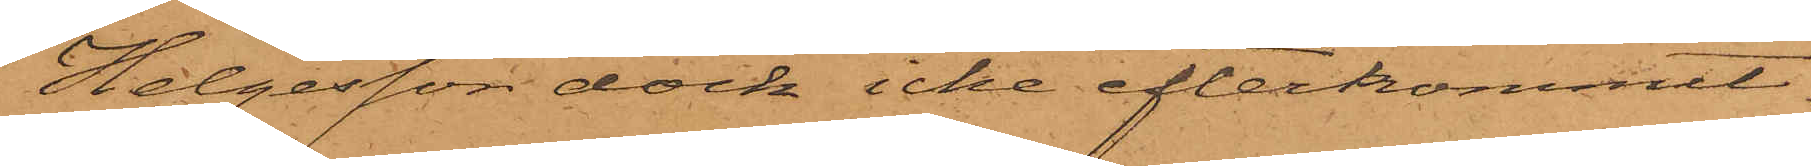Helgesson dock icke efterkommit.
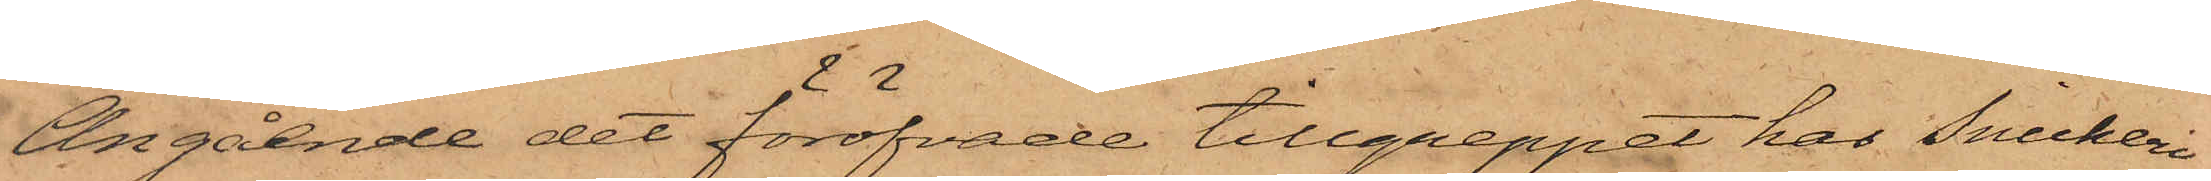Angående det föröfvade tillgreppet har Snickeri¬
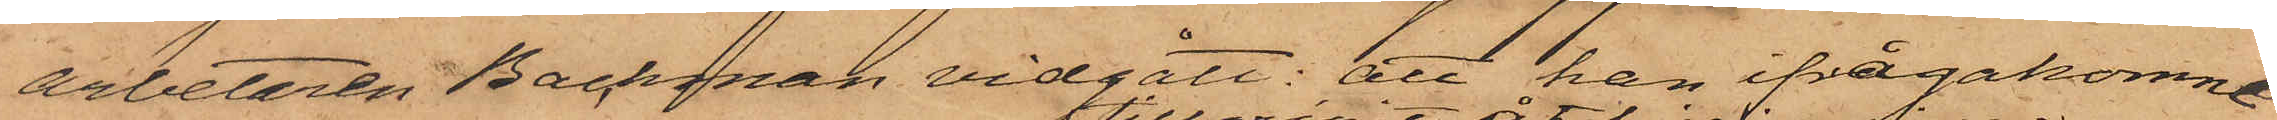arbetaren Backman vidgått: att han ifrågakomne
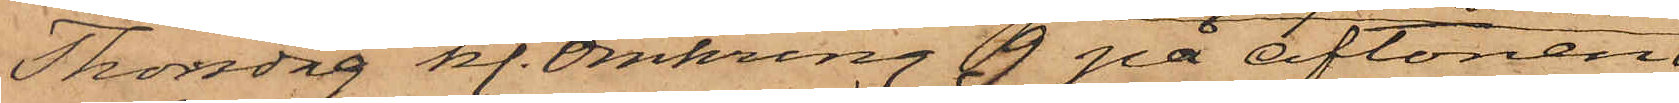Thorsdag kl. omkring 9 på aftonen
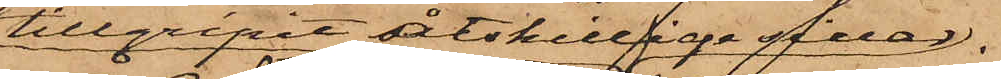tillgripit åtskillige sillar
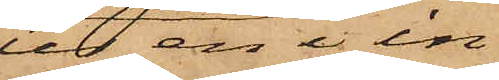ur en i in¬
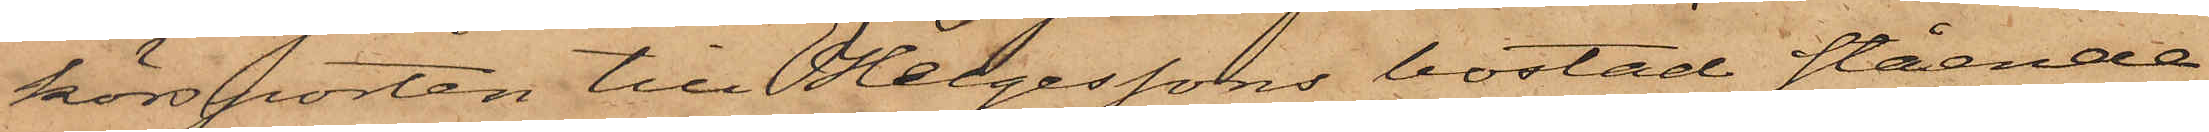körsporten till Helgessons bostad stående
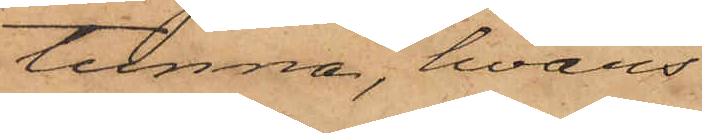tunna, hvars
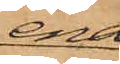ena
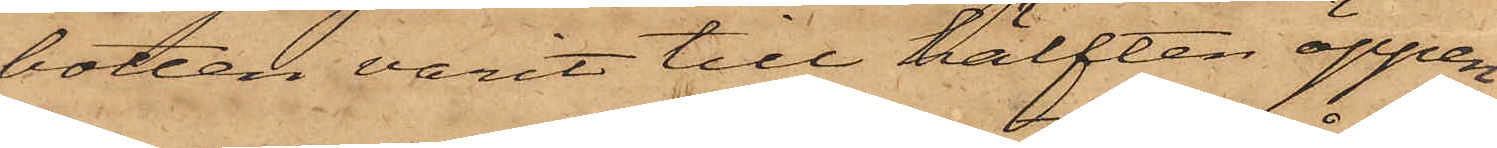botten varit till hälften öppen
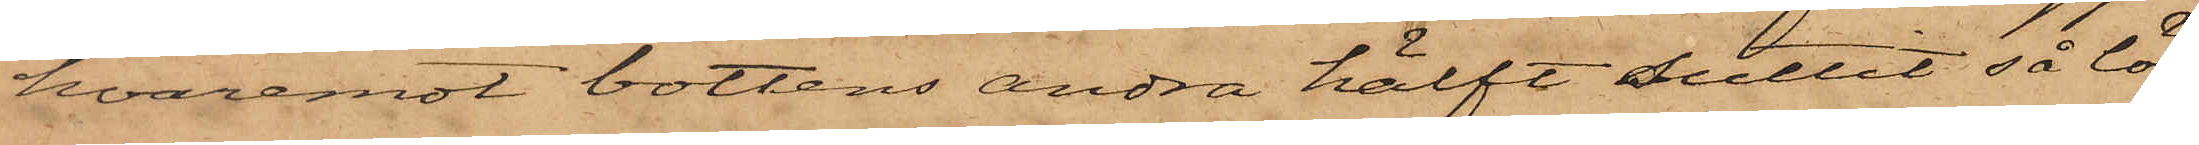hvaremot bottens andra hälft suttit så lös,
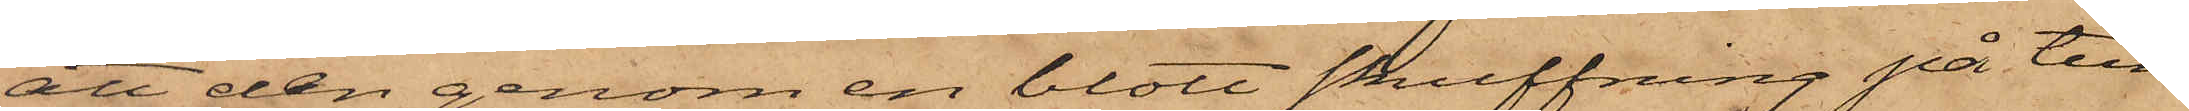att den genom en blott skuffning på tun¬
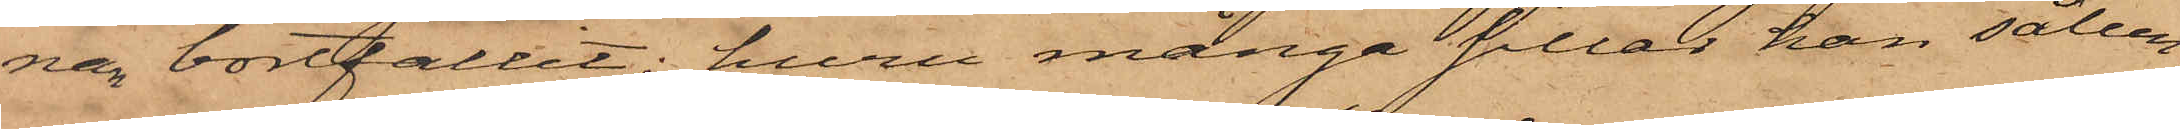nan bortfallit; huru många sillar han sålun¬
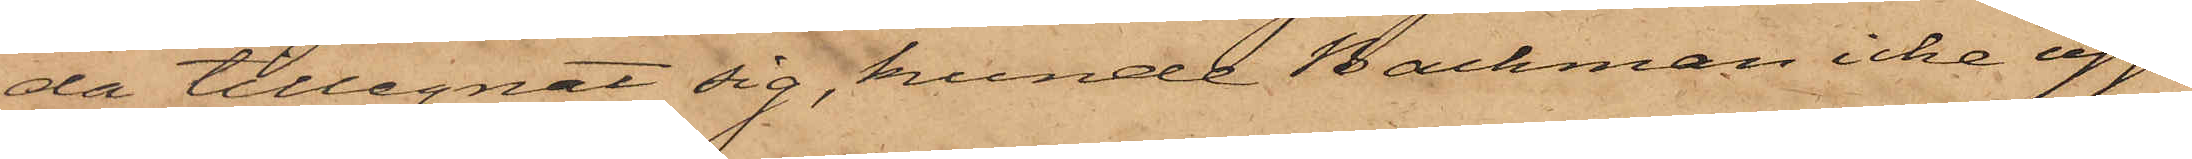da tillegnat sig, kunde Backman icke upp¬
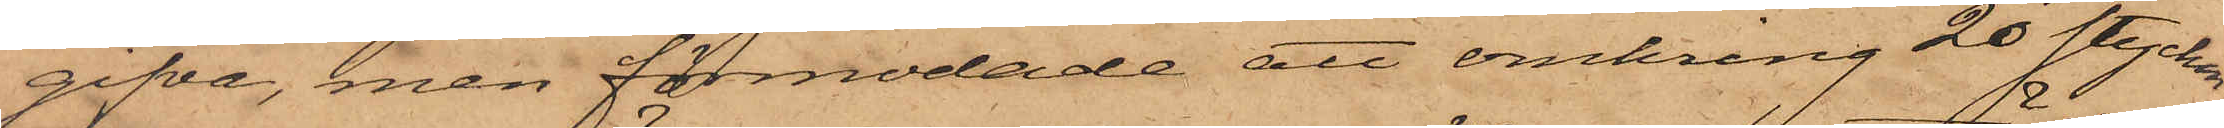gifva, men förmodade att omkring 20 stycken
